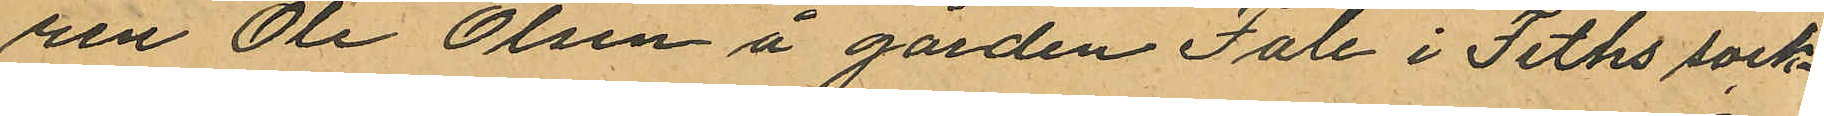ren Ole Olsen å gården Fale i Feths sock¬
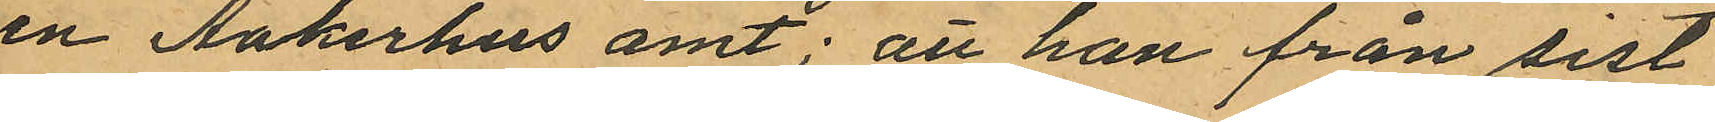en Aakerhus amt; att han från sist
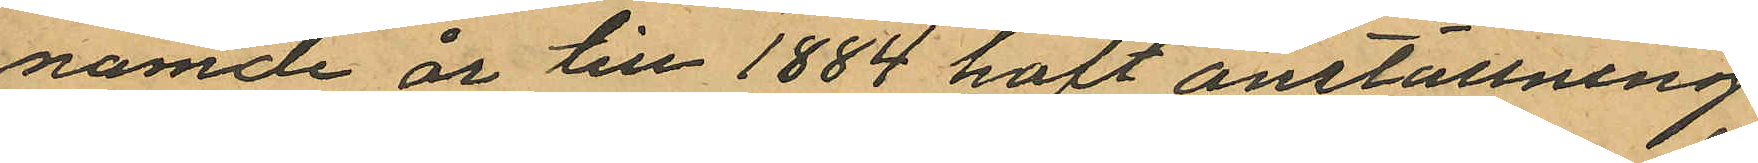nämde år till 1884 haft anställning
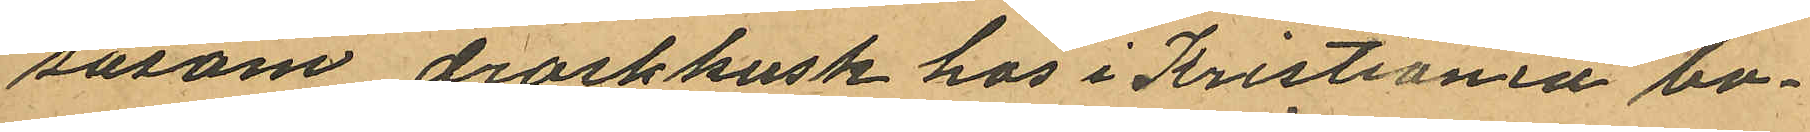såsom droskkusk hos i Kristiania bo¬
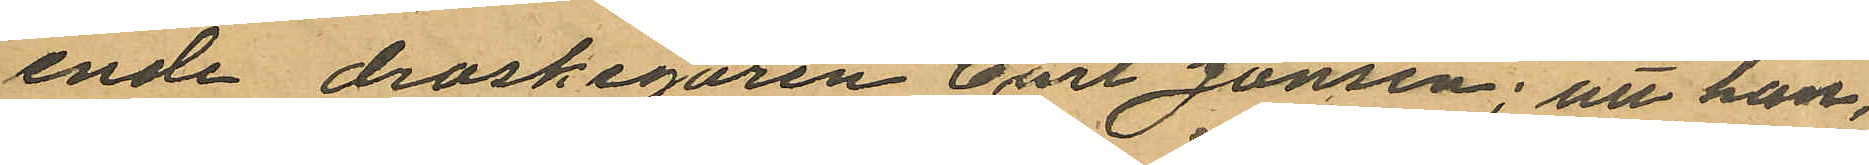ende droskegaren Carl Jonsen; att han,
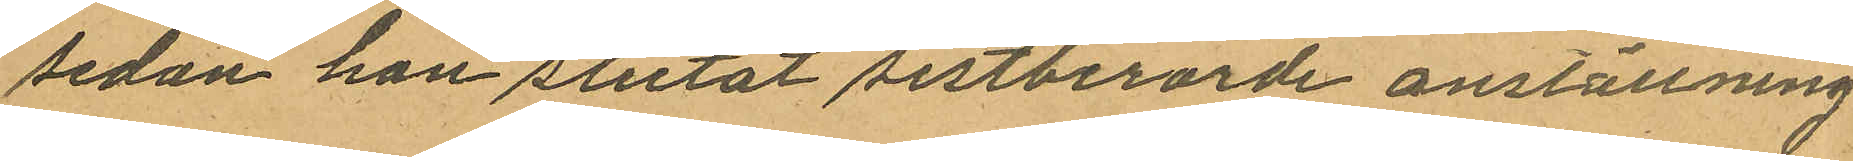sedan han slutat sistberörde anställning
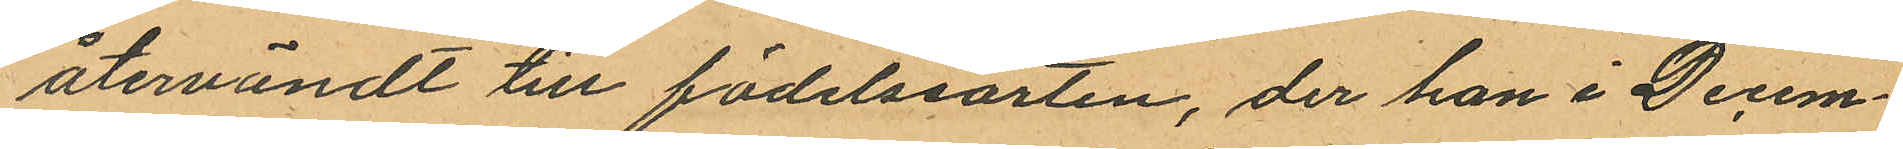återvändt till födelssorten, der han i Decem¬
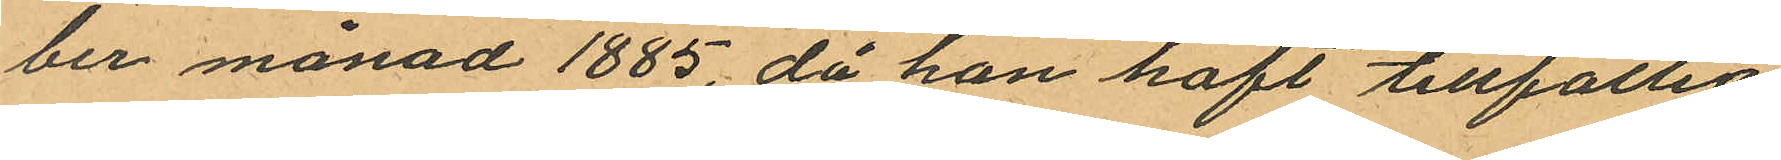ber månad 1885, då han haft tillfällig
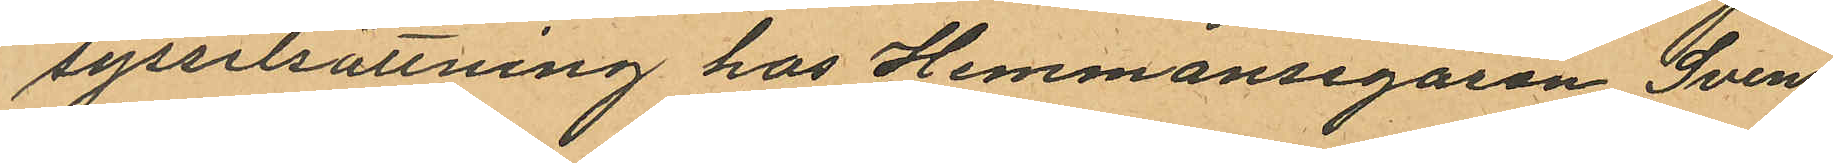sysselsättning hos Hemmansegaren Sven
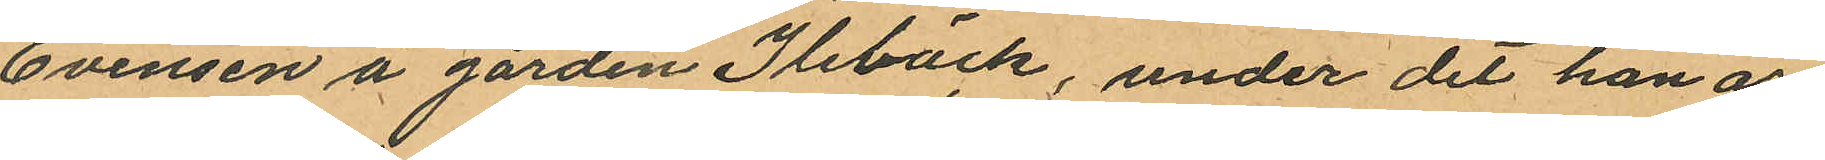Evensen å gården Ilebäck, under det han ar¬
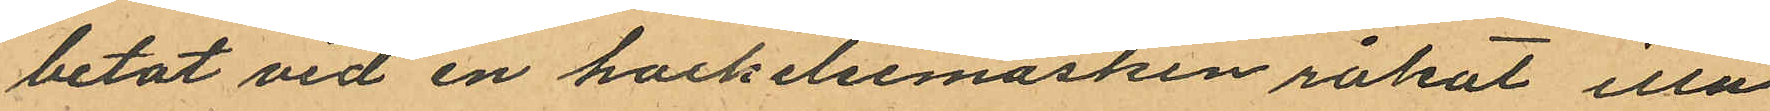betat vid en hackelsemaskin råkat illa
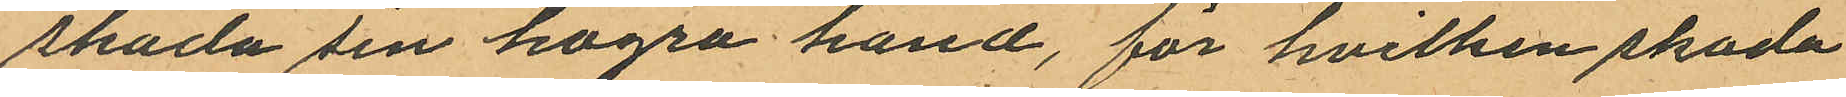skada sin högra hand, för hvilken skada
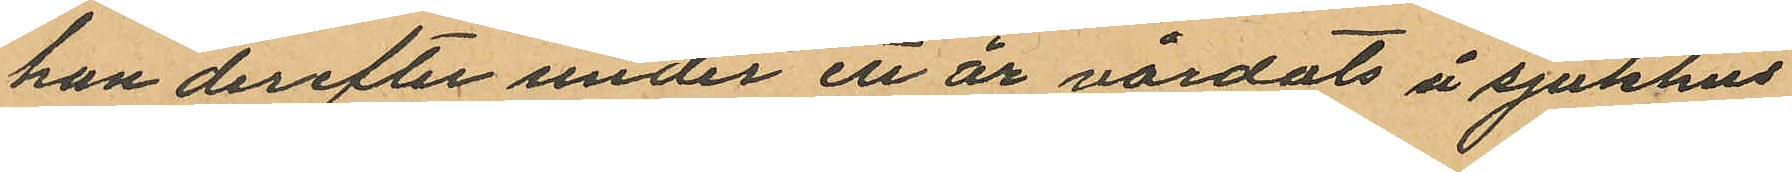han derefter under et är vårdats å sjukhus
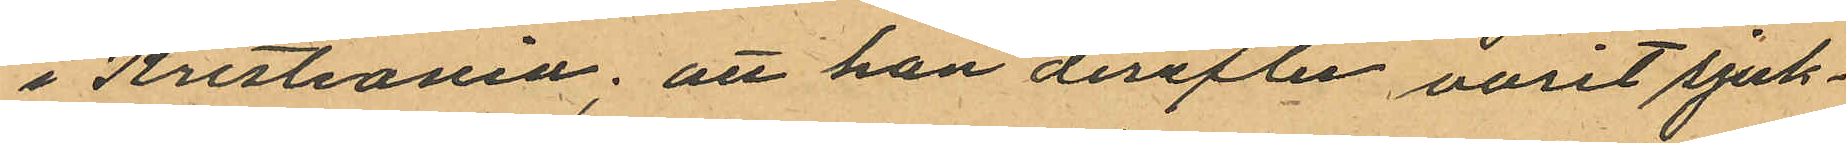i Kristiania; att han derefter varit sjuk¬
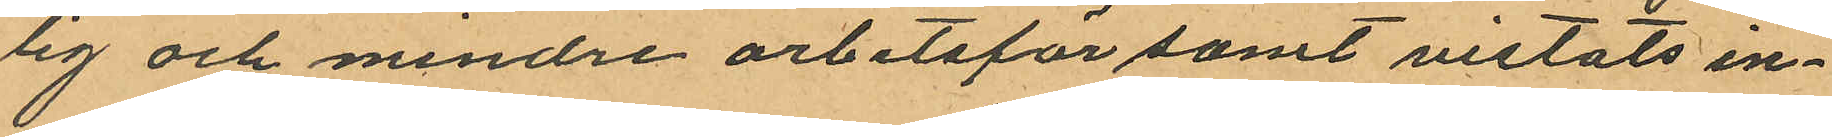lig och mindre arbetsför samt vistats in¬
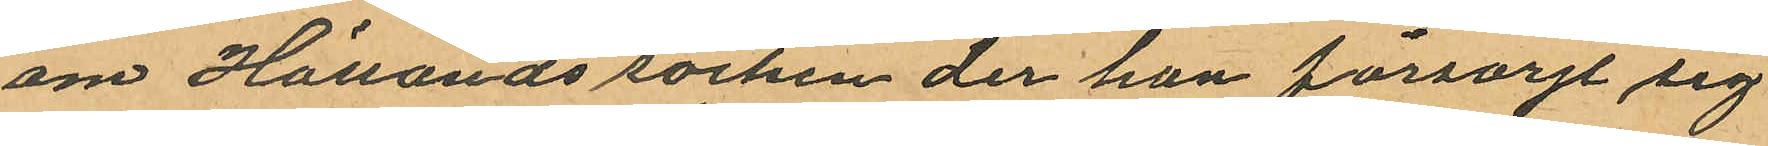om Hållands socken der han försörjt sig
